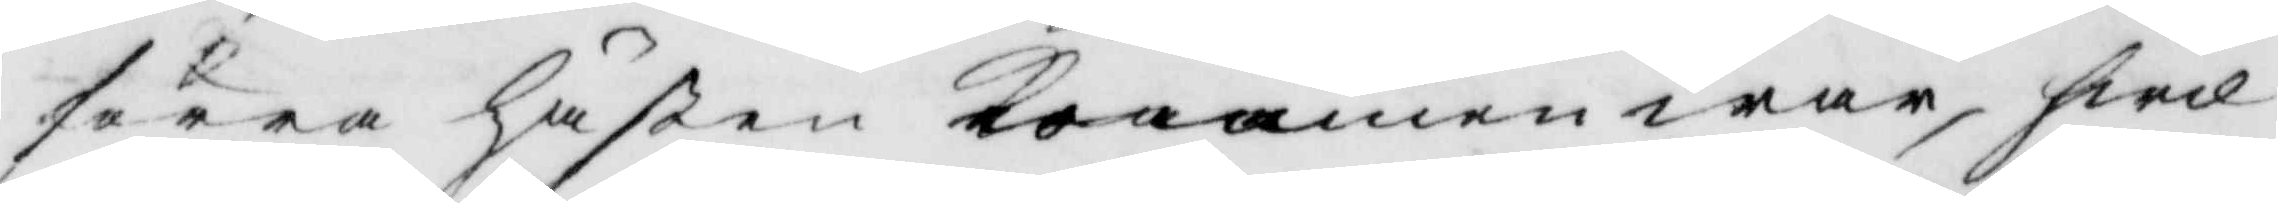förra hästen kommen war, hwil¬
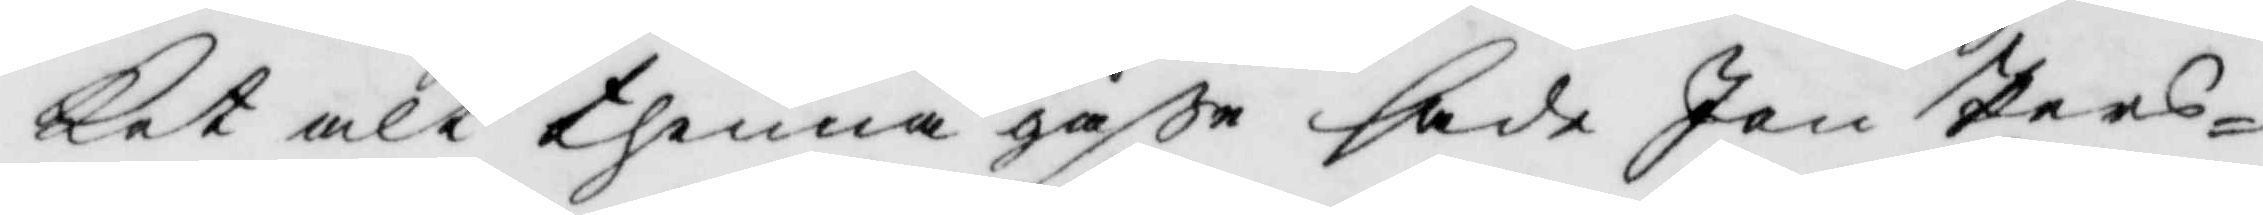ket alt thenna gåße sade Jan Pers¬
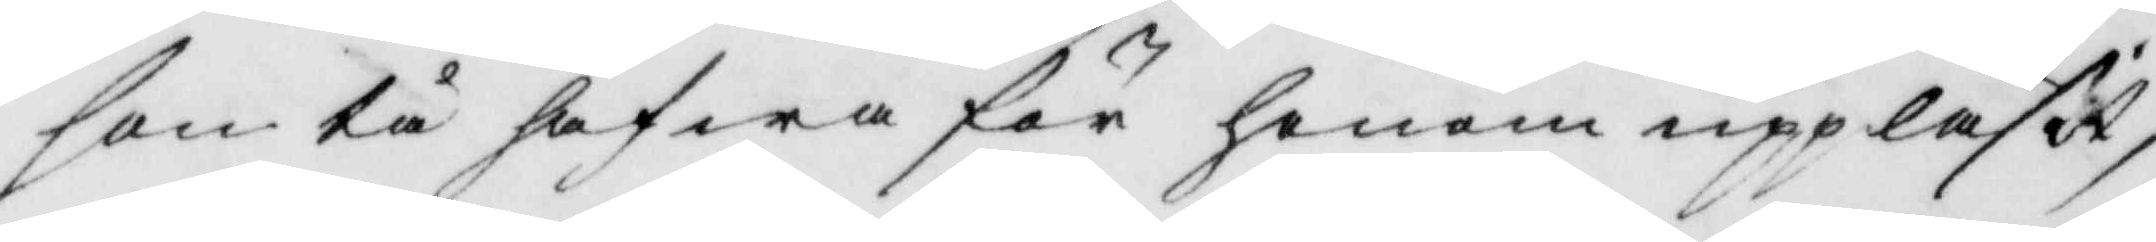son tå hafwa för honom uppläsit,
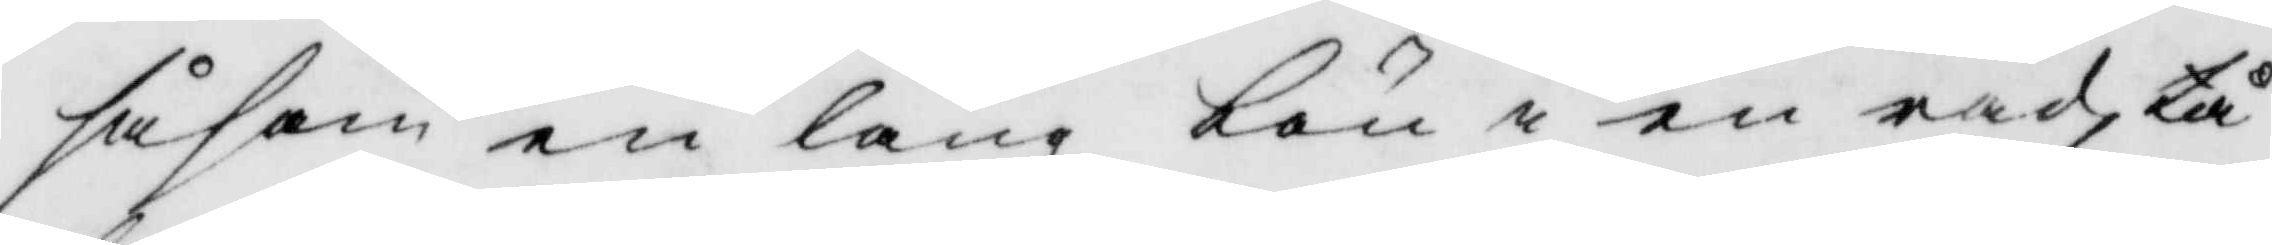såsom en lång bön i en rad,tå
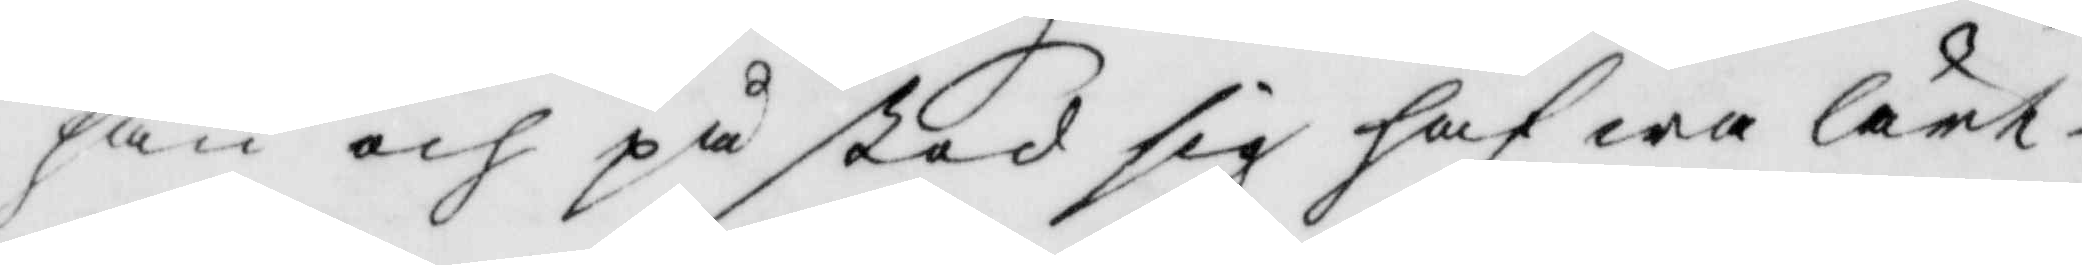han och på stod sig hafwa lärt,
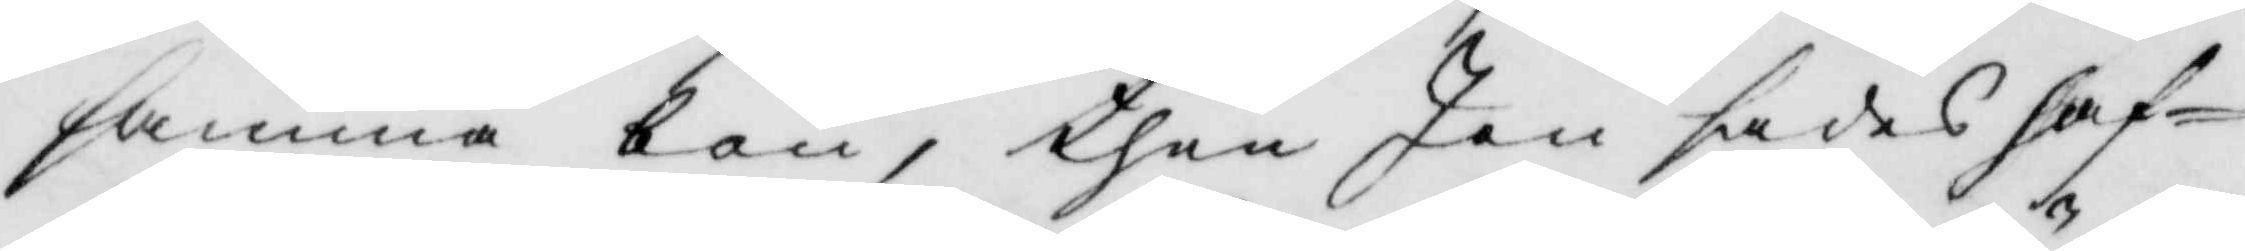samma bön, then Jan sades haf¬
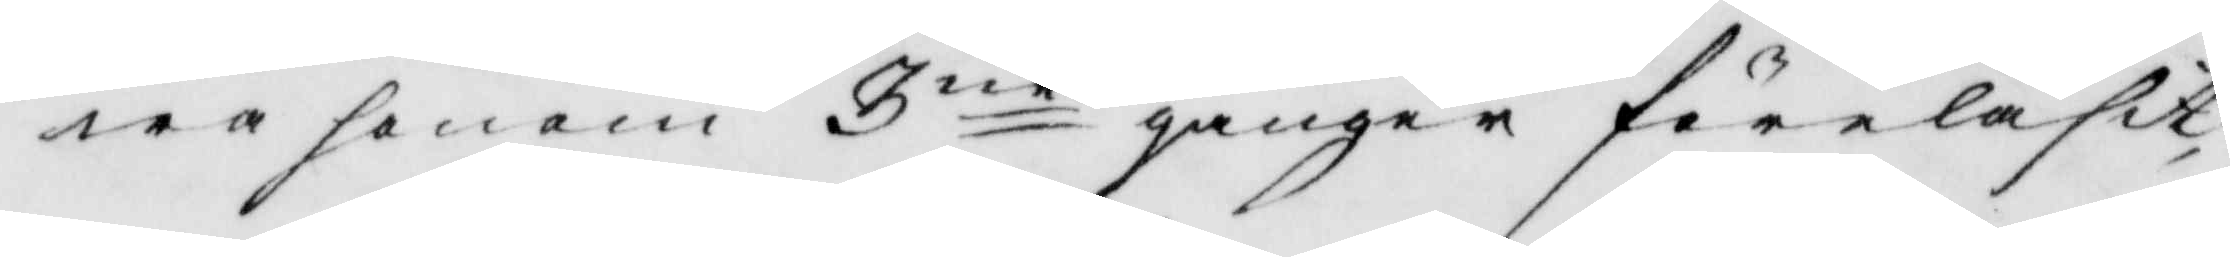wa honom 3ne gånger föreläsit,
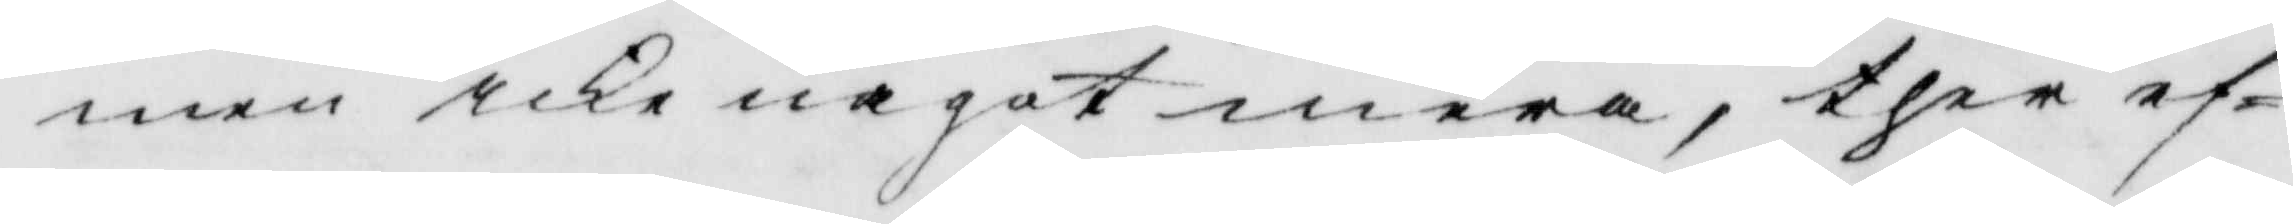men icke något mera, ther ef¬
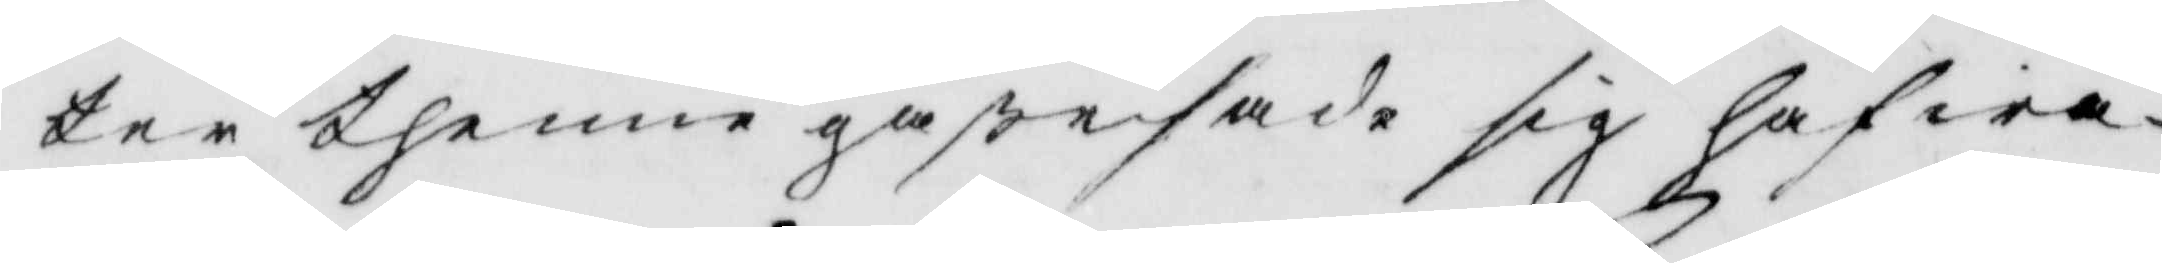ter thenne gåße sade sig hafwa
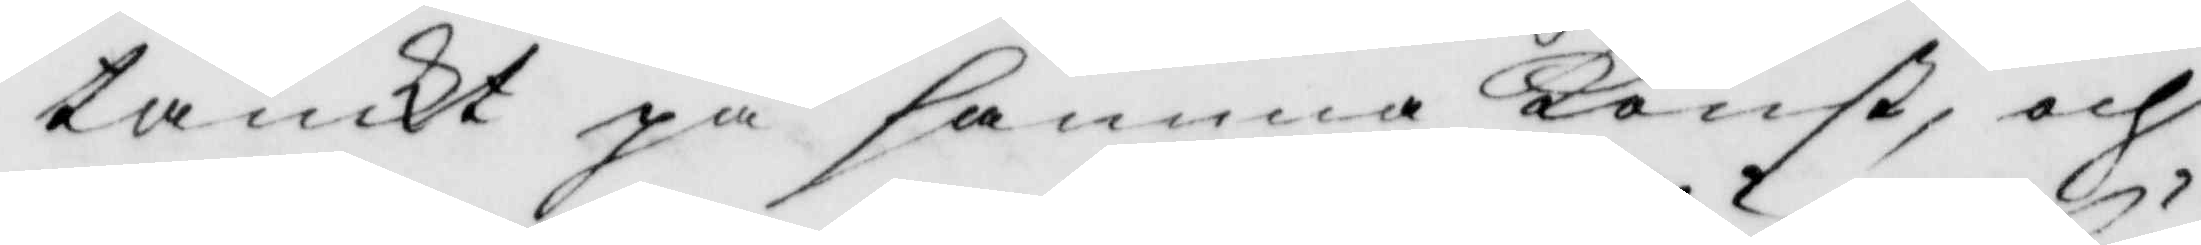tänckt på samma Konst, och
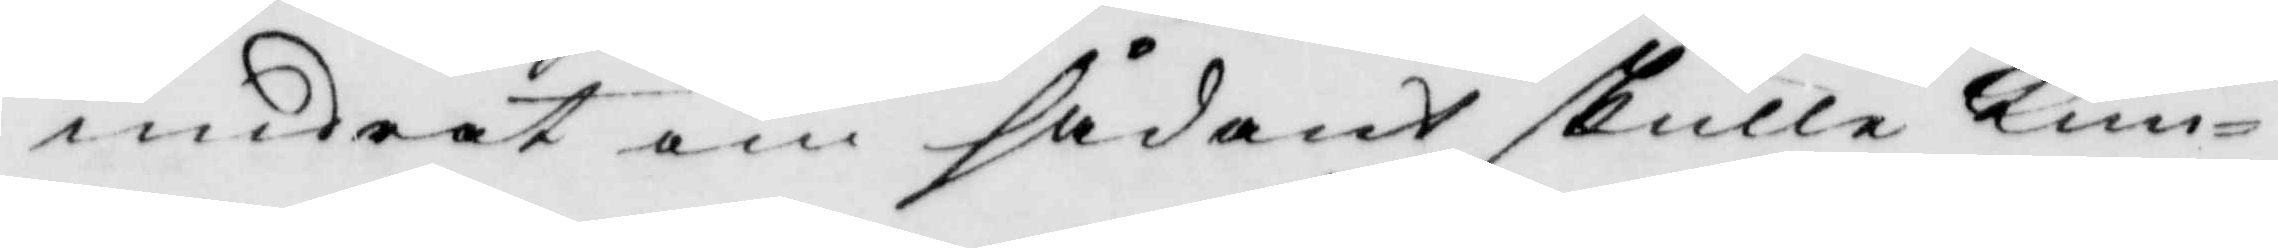undrat om sådant skulle kun¬
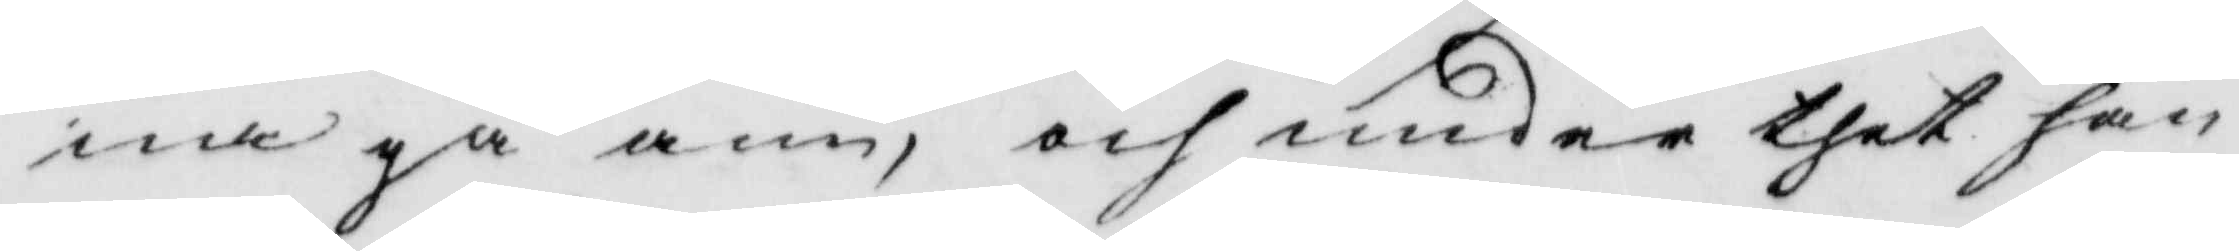na gå ann, och under thet han
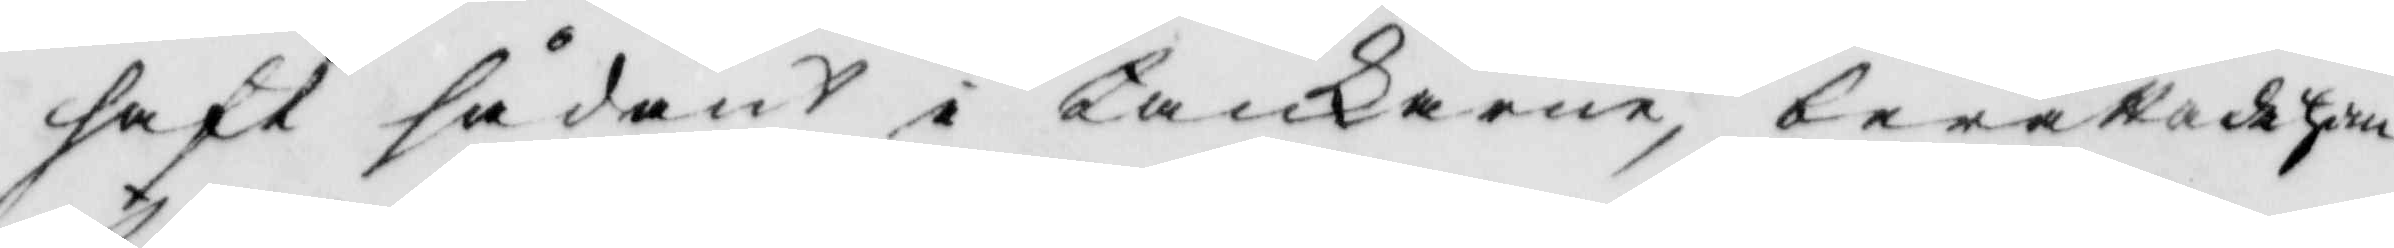haft sådant i tankarne, berättade han¬
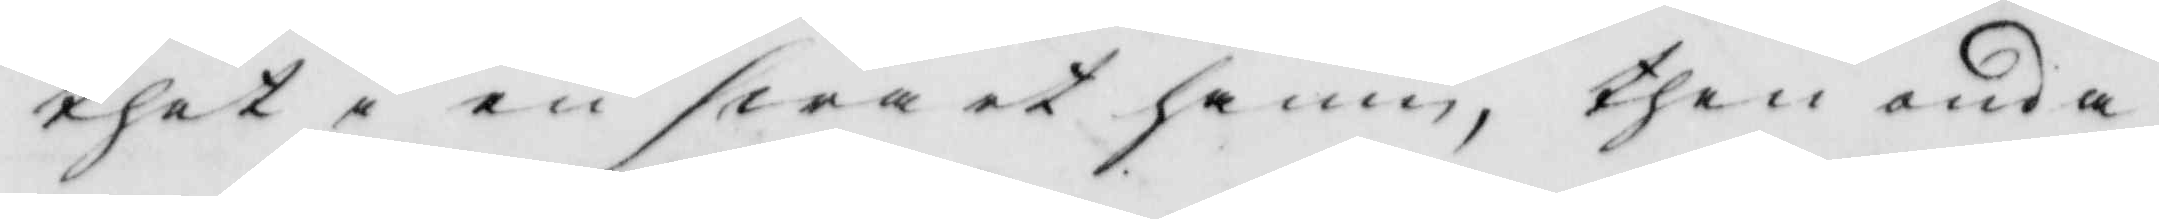thet i en swart hamn, then onda
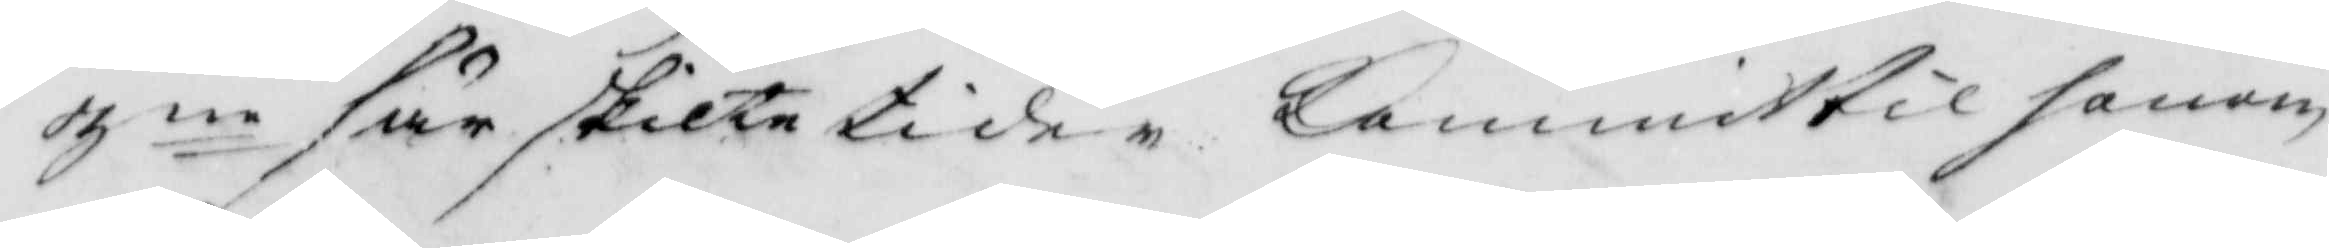3ne särskilte tider kommit til honom
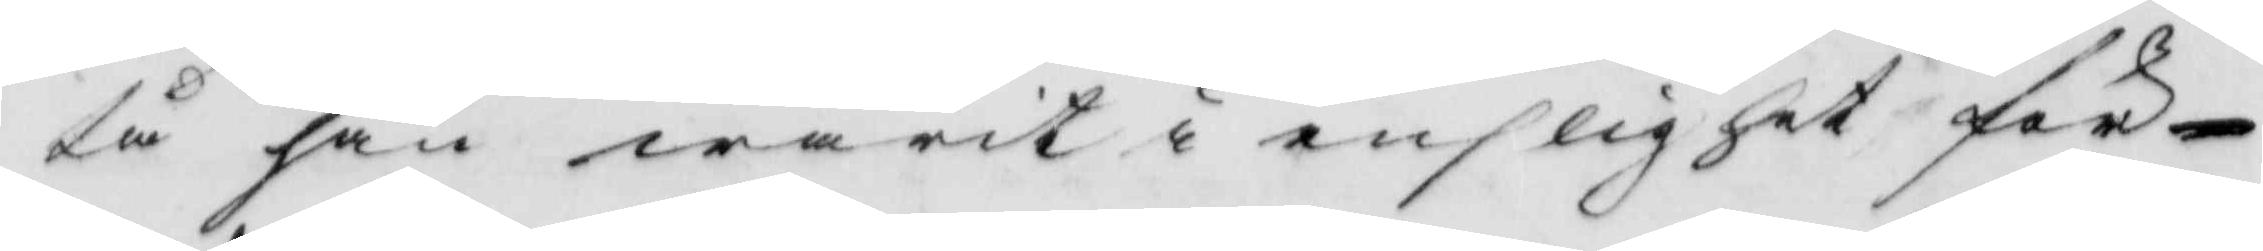tå han warit i enslighet för¬
